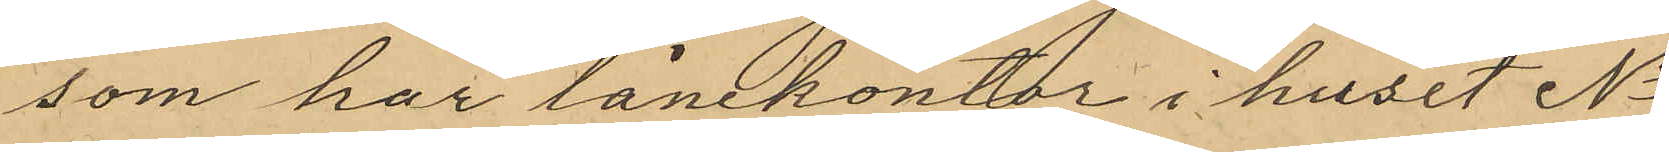som har lånekontor i huset No
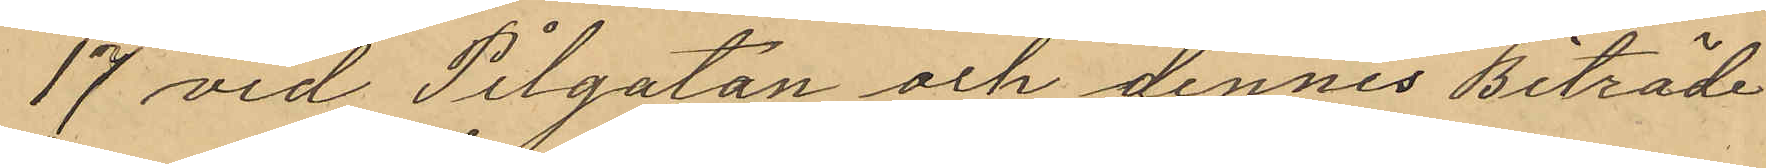17 vid Pilgatan och dennes biträde
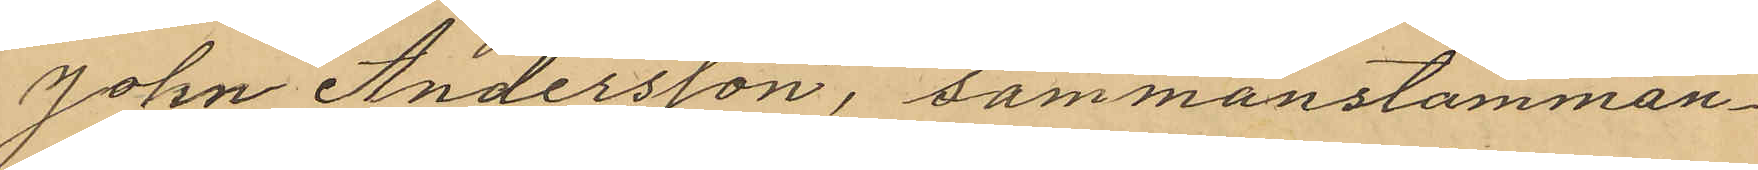John Andersson, sammanstämman¬
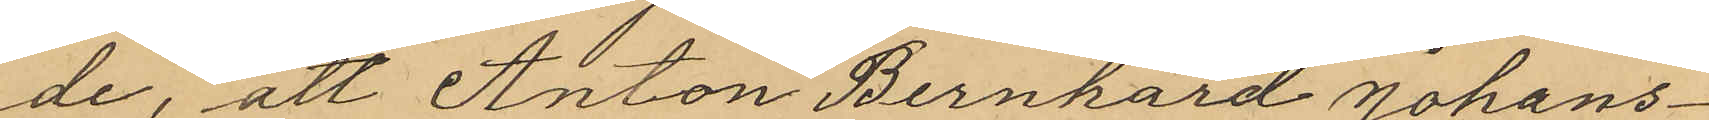de, att Anton Bernhard Johans¬
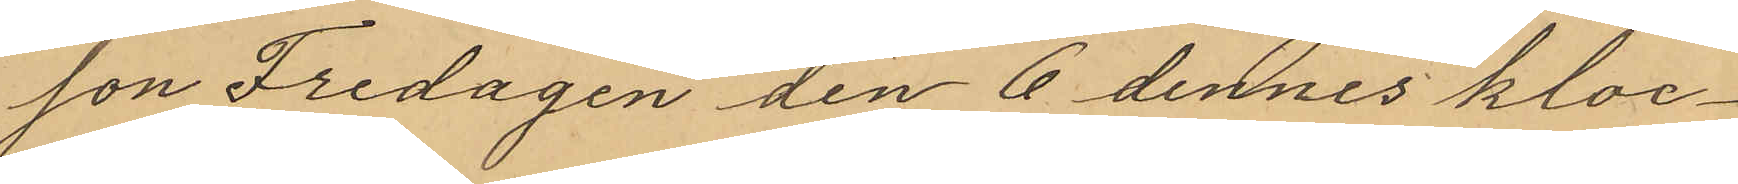son Fredagen den 6 dennes kloc¬
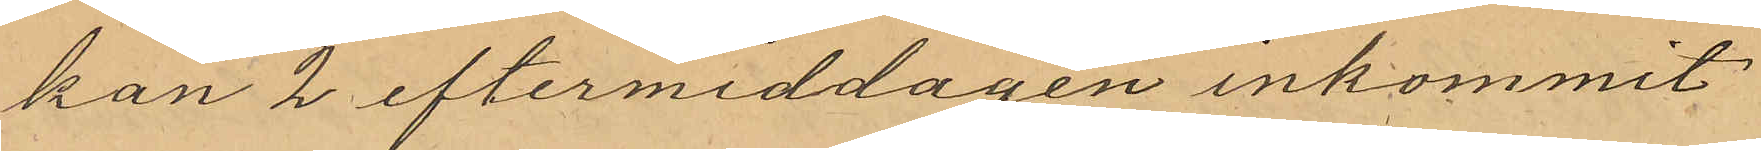kan 2 eftermiddagen inkommit
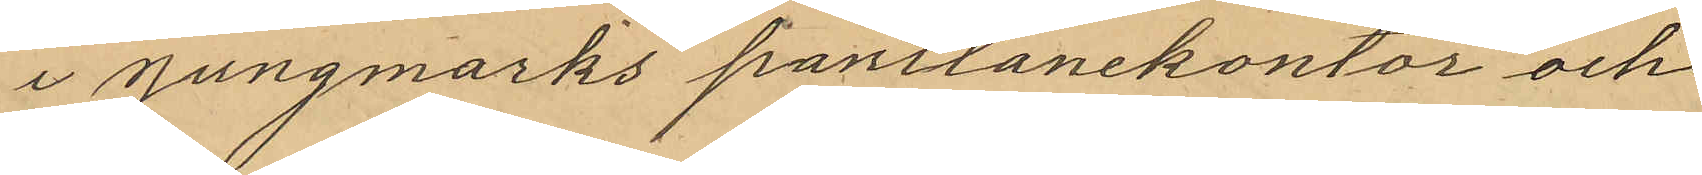i Jungmarks pantlånekontor och
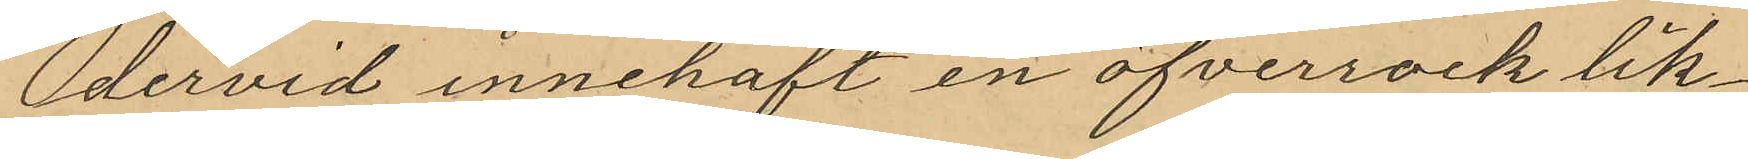dervid innehaft en öfverrock lik¬
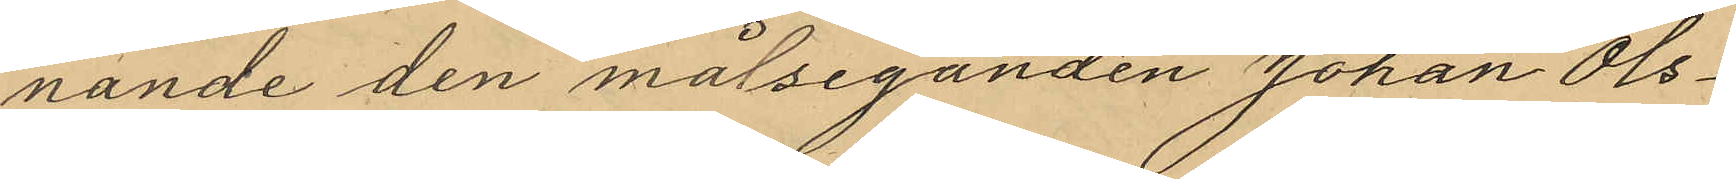nande den målseganden Johan Ols¬
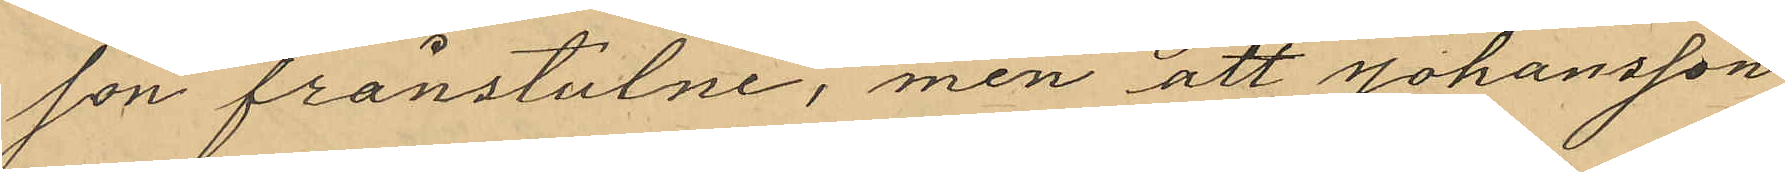son frånstulne, men att Johansson
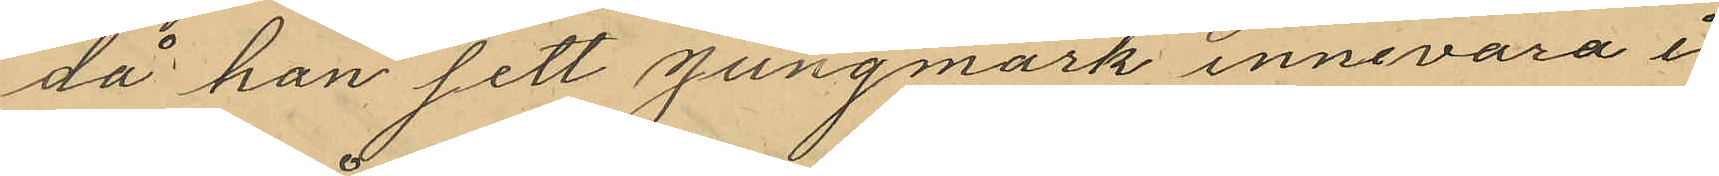då han sett Jungmark innevara i
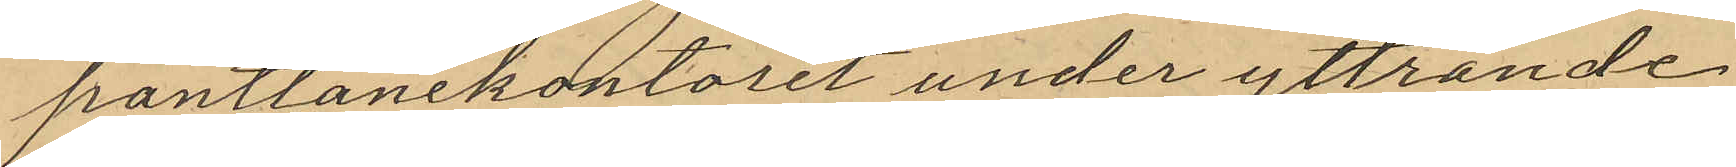pantlånekontoret under yttrande
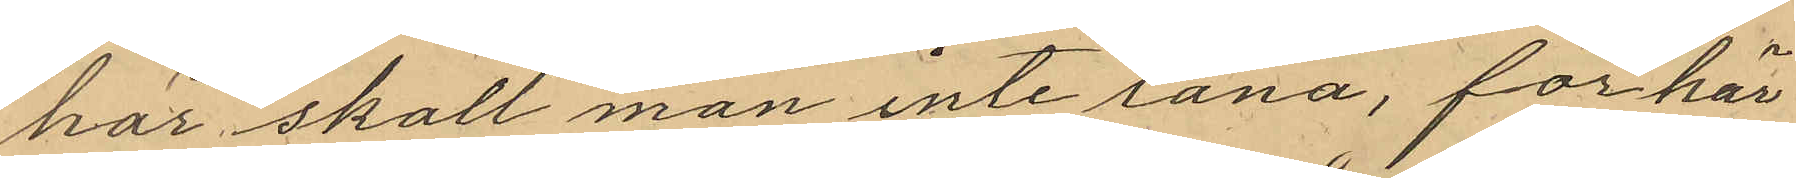"här skall man inte låna, för här
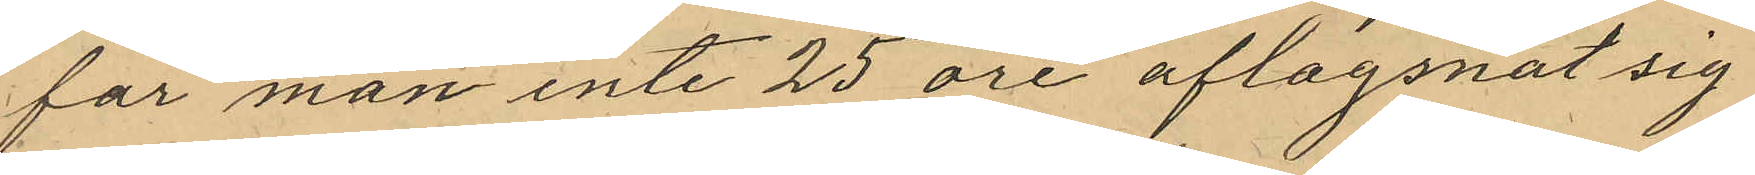får man inte 25 öre" aflagsnat sig
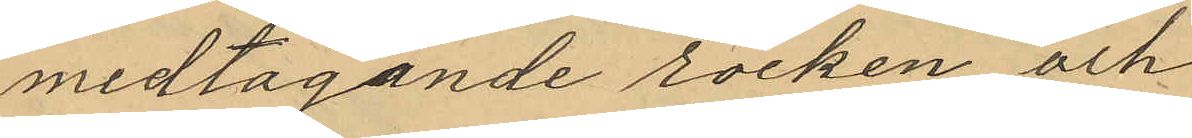medtagande rocken och
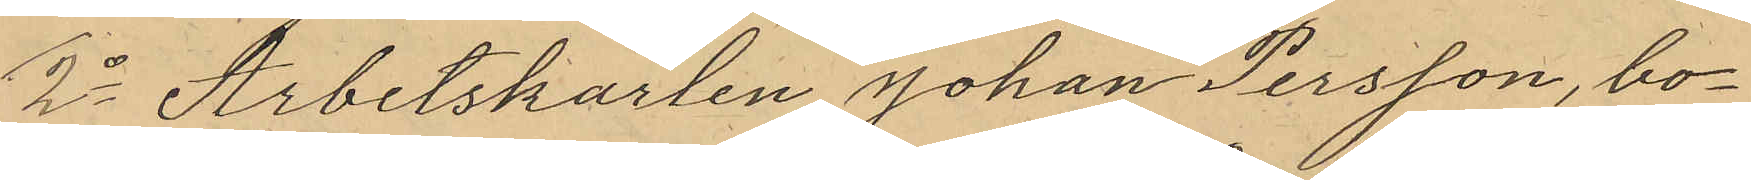2o Arbetskarlen Johan Persson, bo¬
